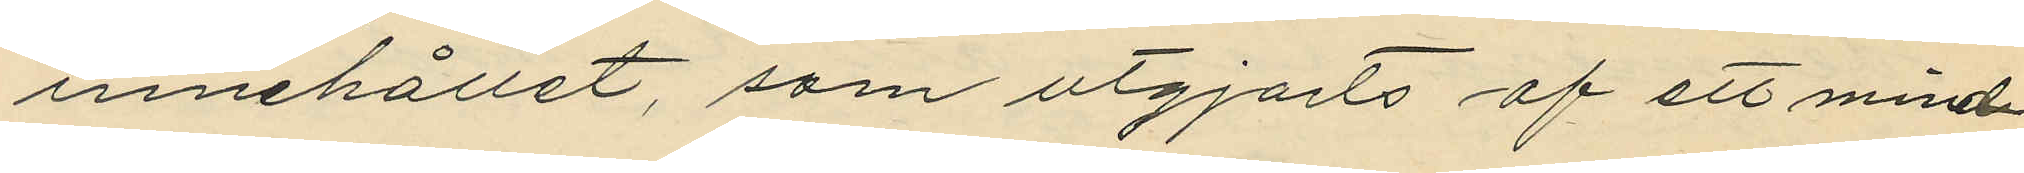innehållet, som utgjorts af ett mind¬
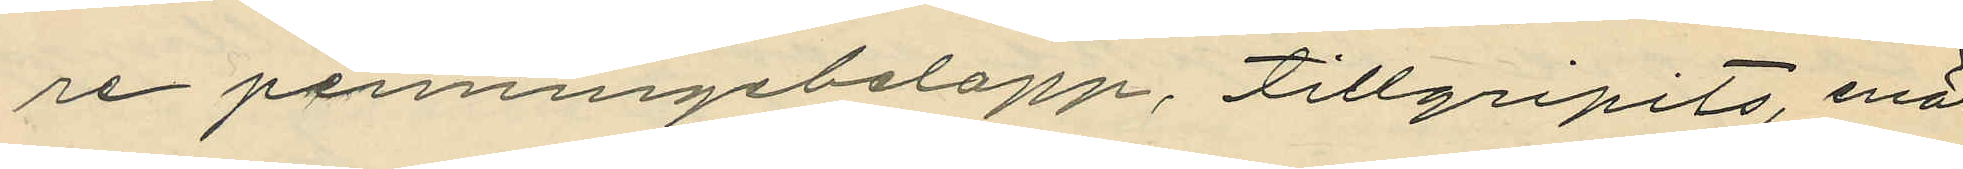re penningebelopp, tillgripits, enär
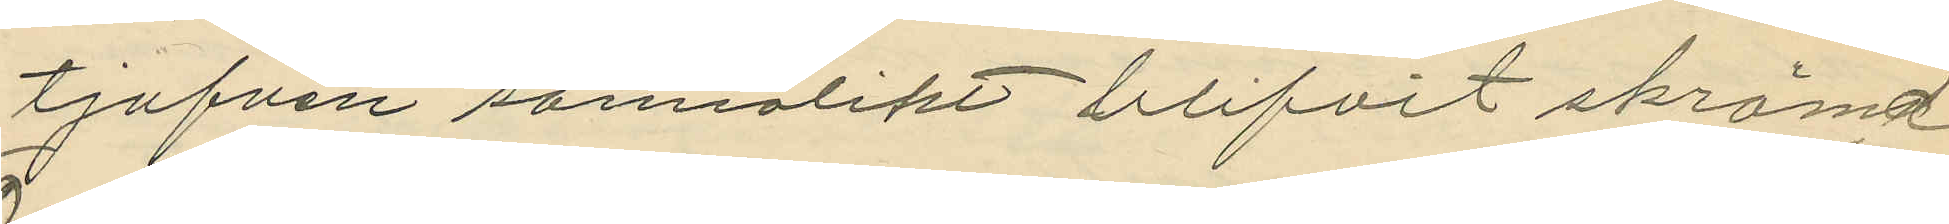tjufven sannolikt blifvit skrämd
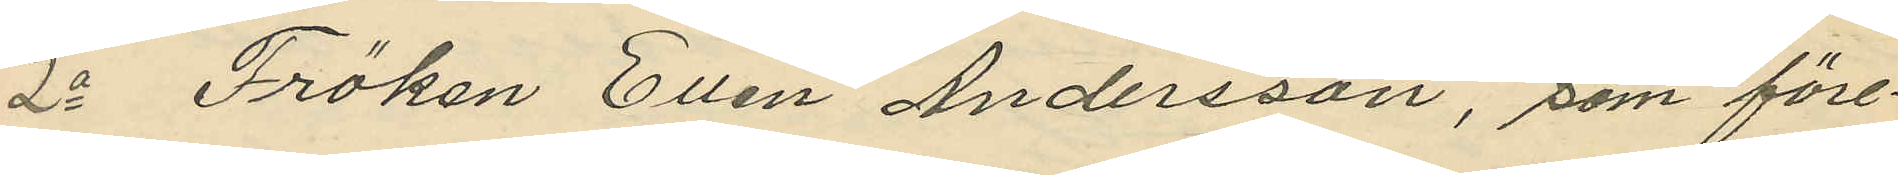2o Fröken Ellen Andersson, som före¬
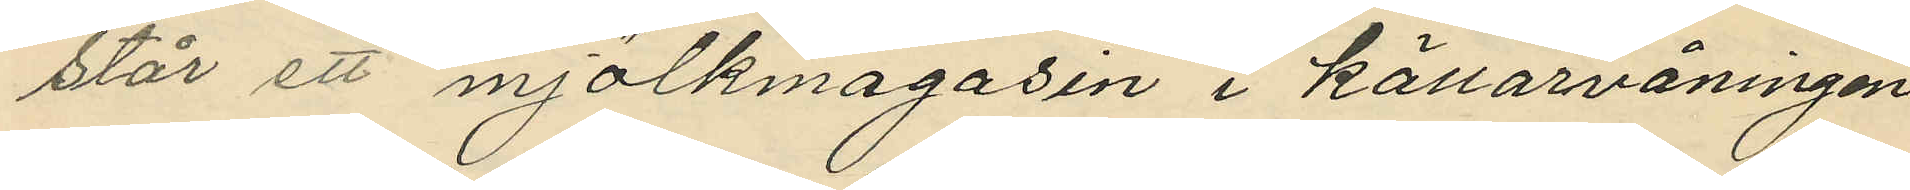står ett mjölkmagasin i källarvåningen
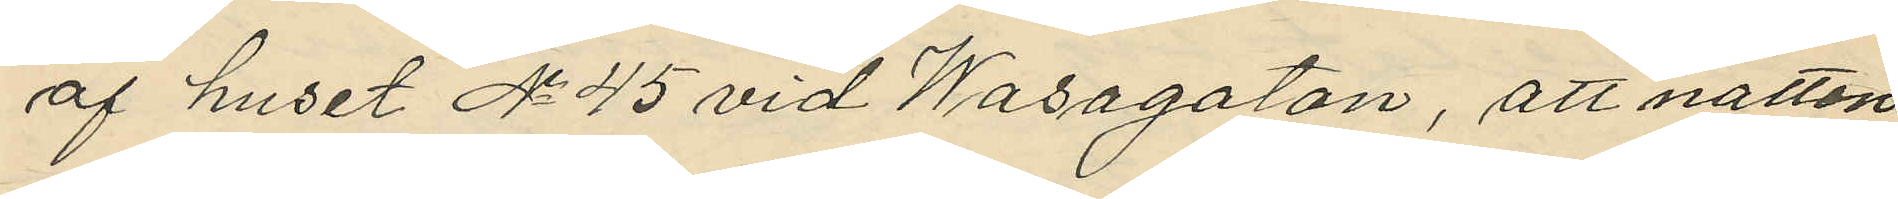af huset No 45 vid Wasagatan, att natten
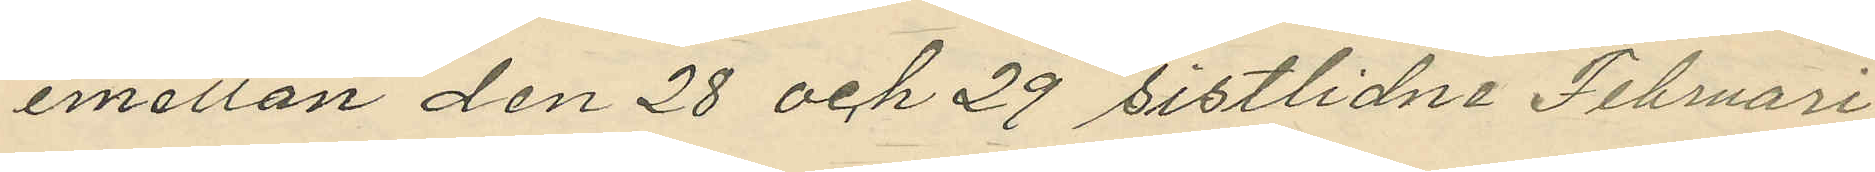emellan den 28 och 29 sistlidne Februari
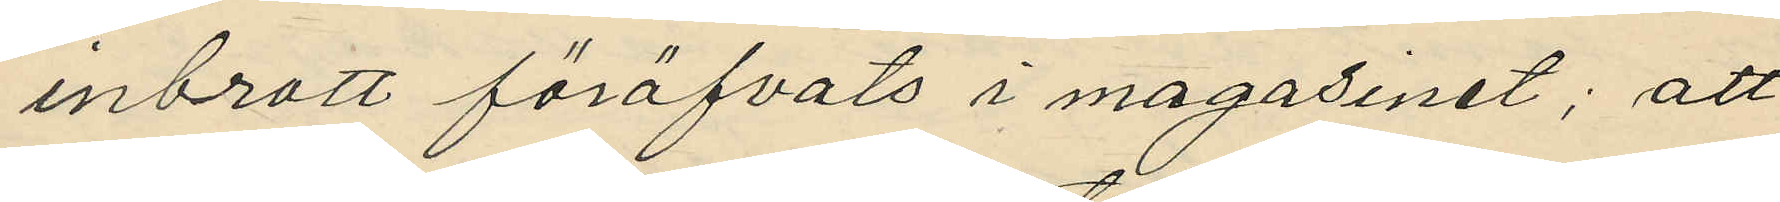inbrott föröfvats i magasinet; att
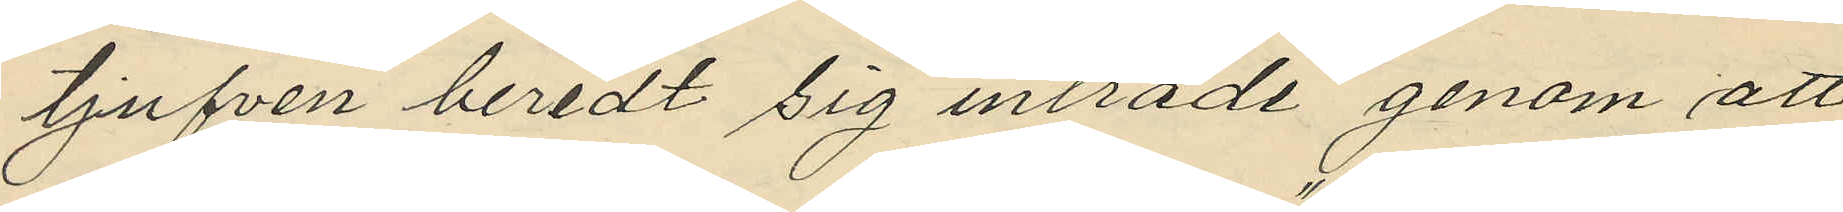tjufven beredt sig inträde genom att
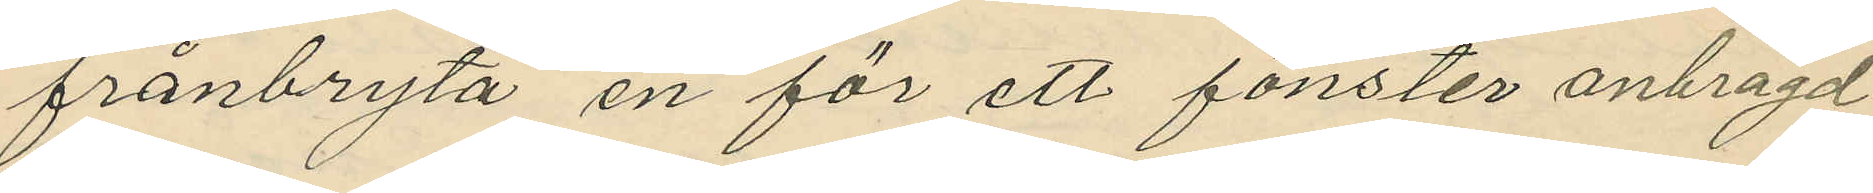frånbryta en för ett fönster anbragd
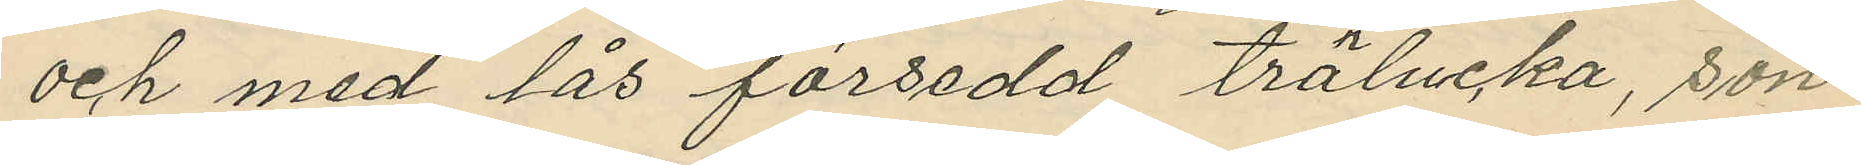och med lås försedd trälucka, sön¬
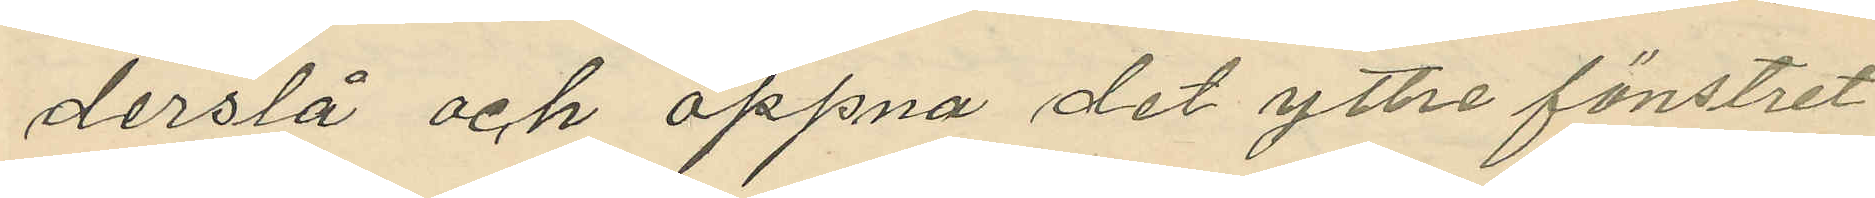derslå och öppna det yttre fönstret
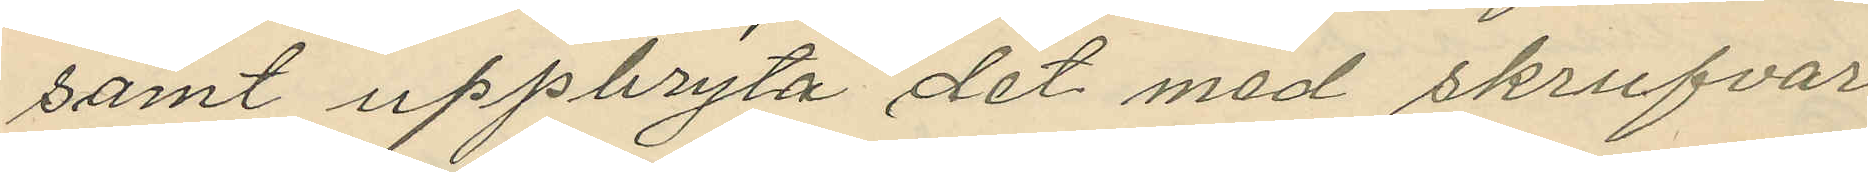samt uppbryta det med skrufvar
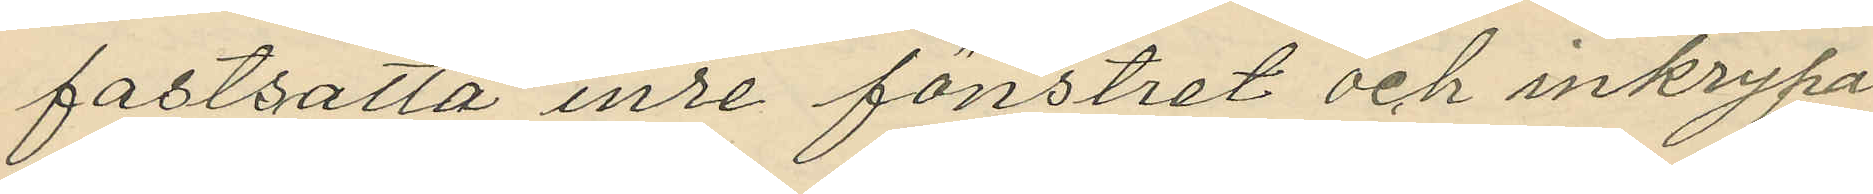fastsatta inre fönstret och inkrypa
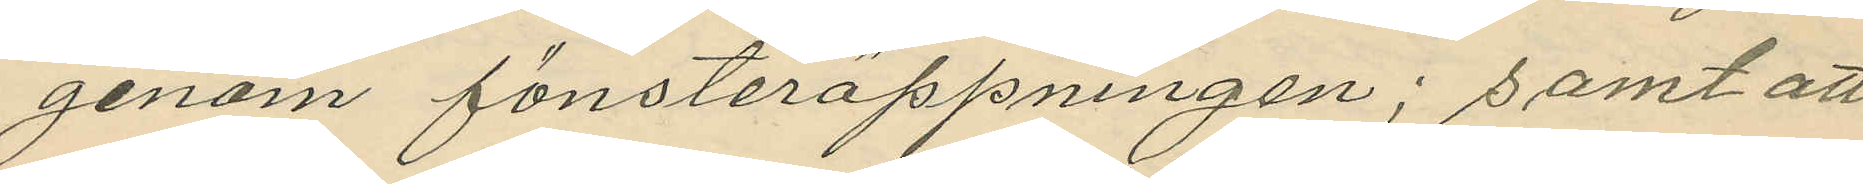genom fönsteröppningen; samt att
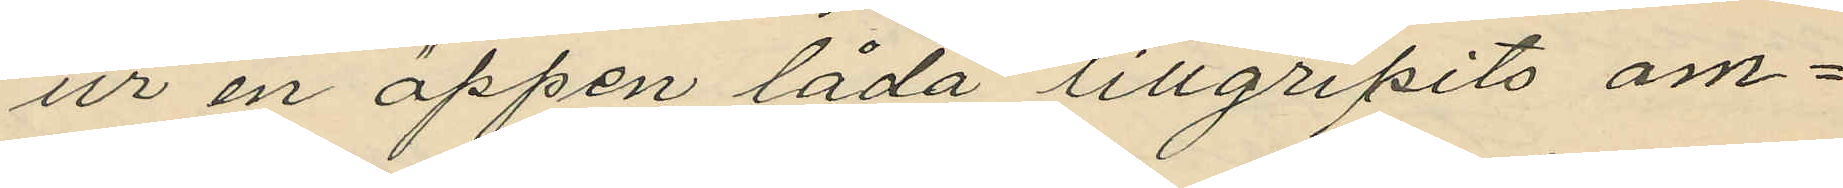ur en öppen låda tillgripits om¬
